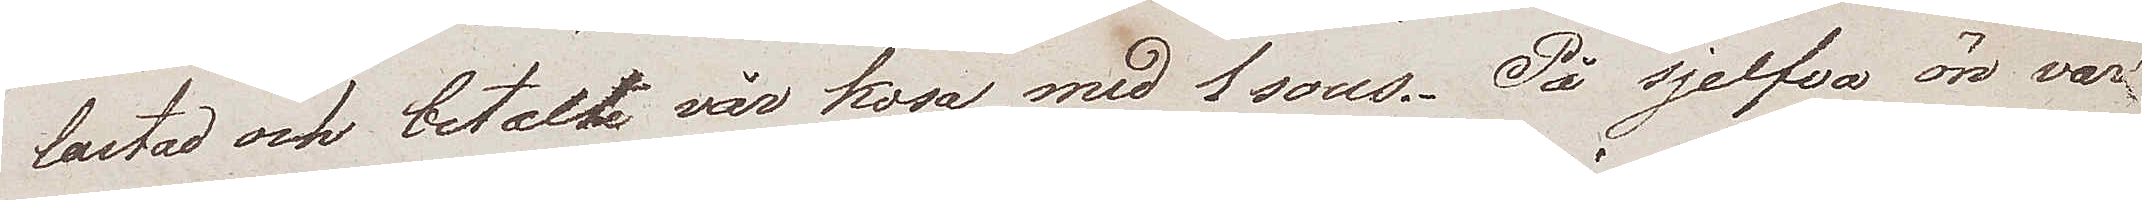lastad och betalte vår kosa med 1 Sous. På sjelfva ön var
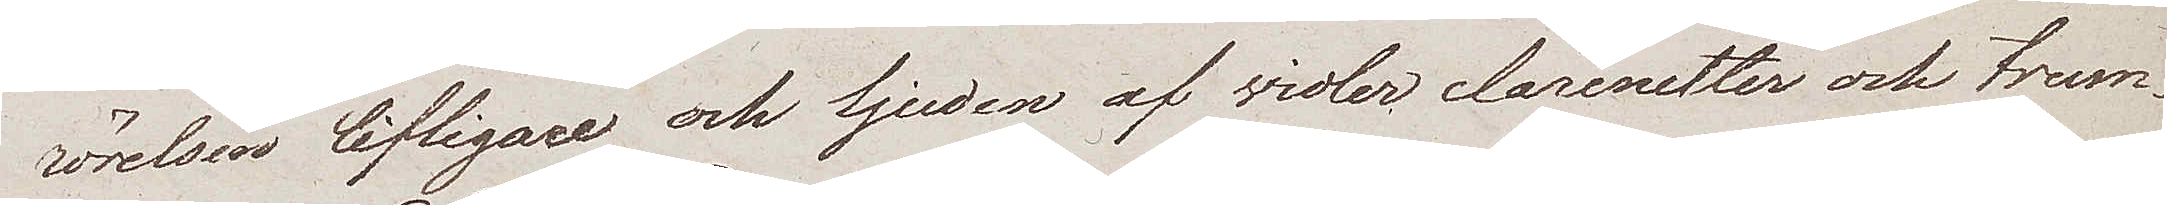rörelsen lifligare och ljuden af violer clarinetter och trum¬
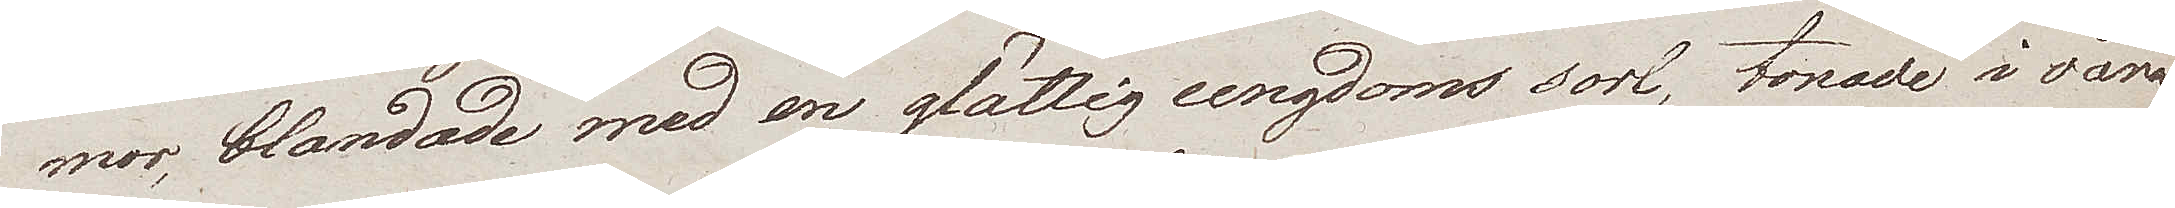mor blandade med en glättig ungdoms sorl, tonade i våra
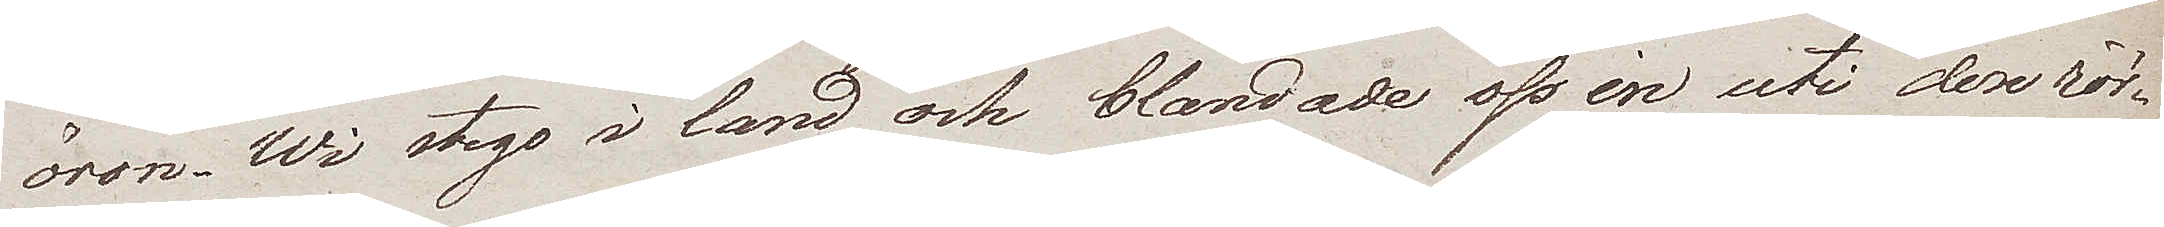öron. Wi stego i land och blandade oss in uti den rör¬
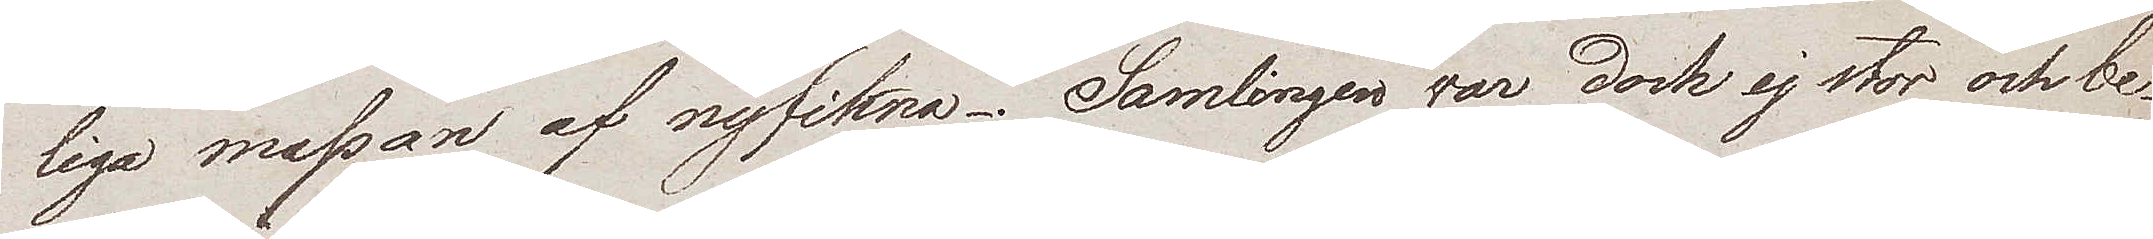liga massan af nyfikna. Samlingen var dock ej stor och be¬
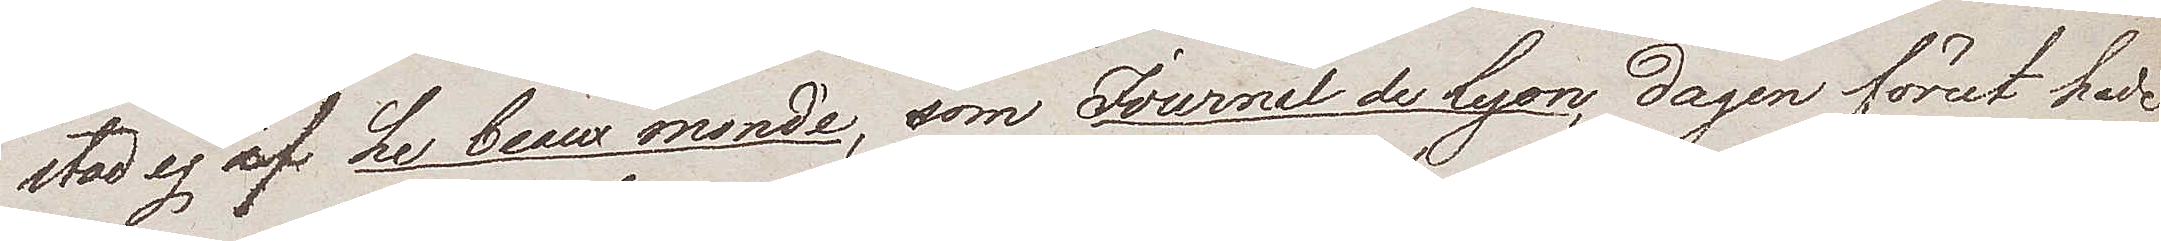stod ej af Le beaxu monde, som Journal de Lyon, dagen förut hade
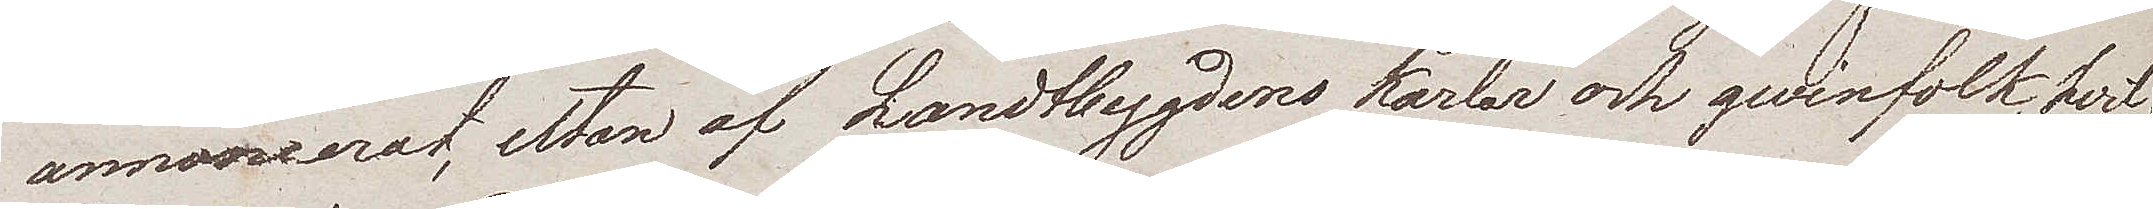annoncerat, utan af Landtbygdens karlar och qwinfolk, hvil¬
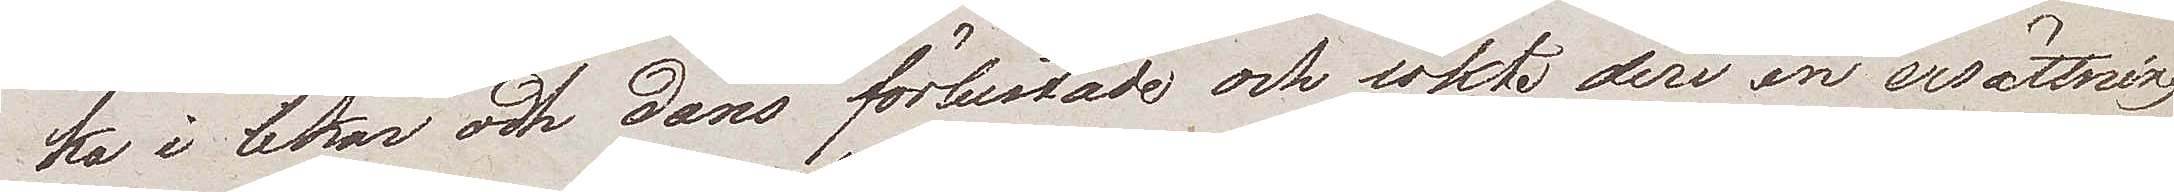ka i lekar och dans förlustade och sökte deri en ersättning
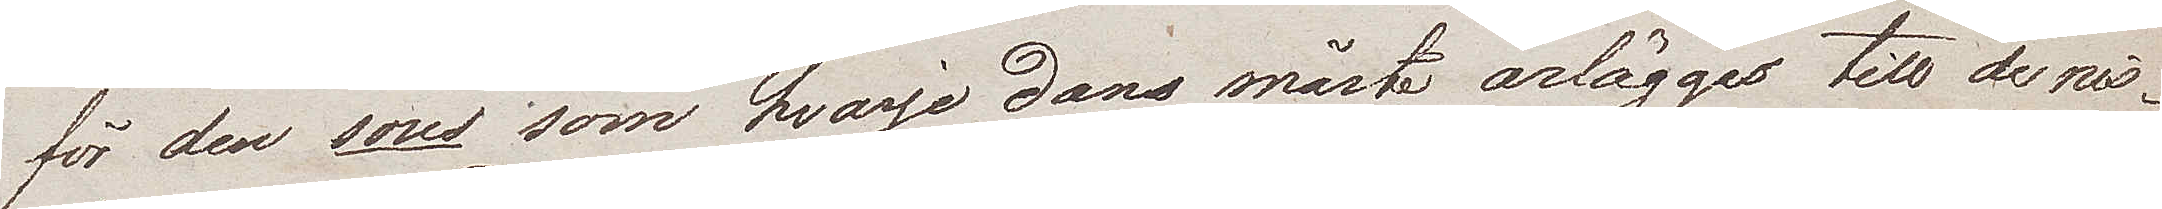för den sous som hvarje dans måste ärläggas till de ris¬
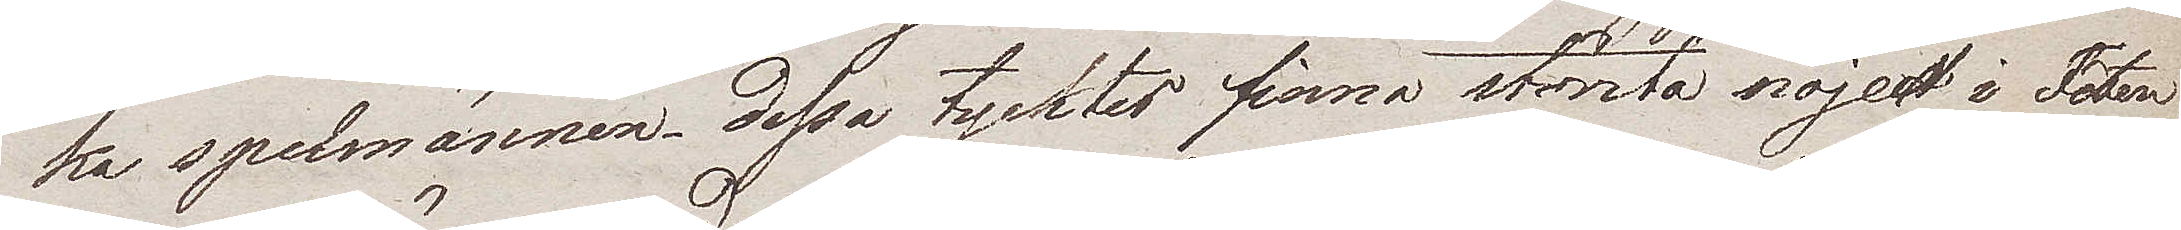ka spelmännen. Dessa tycktes finna största nöjet i Fêten
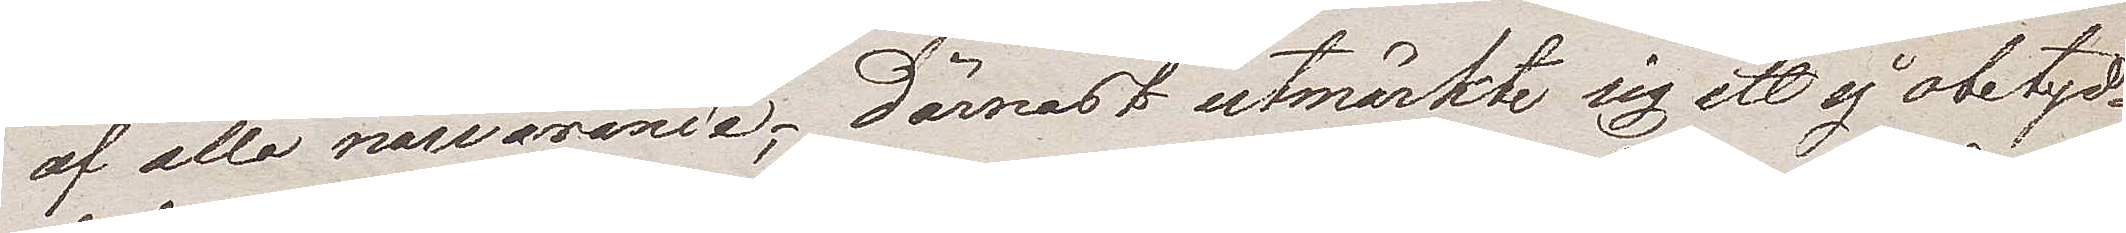af alla närvarande, däremot utmärkte sig ett ej obetyd¬
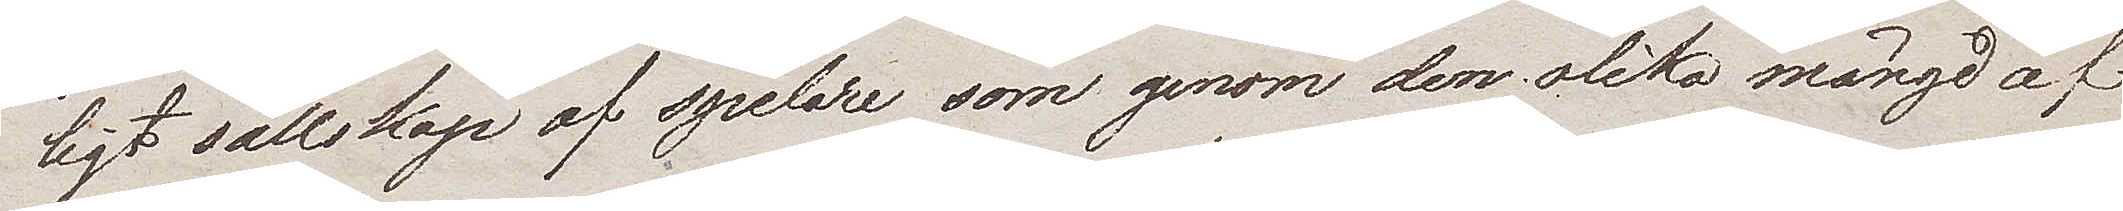ligt sällskap af spelare, som genom den olika mängd af
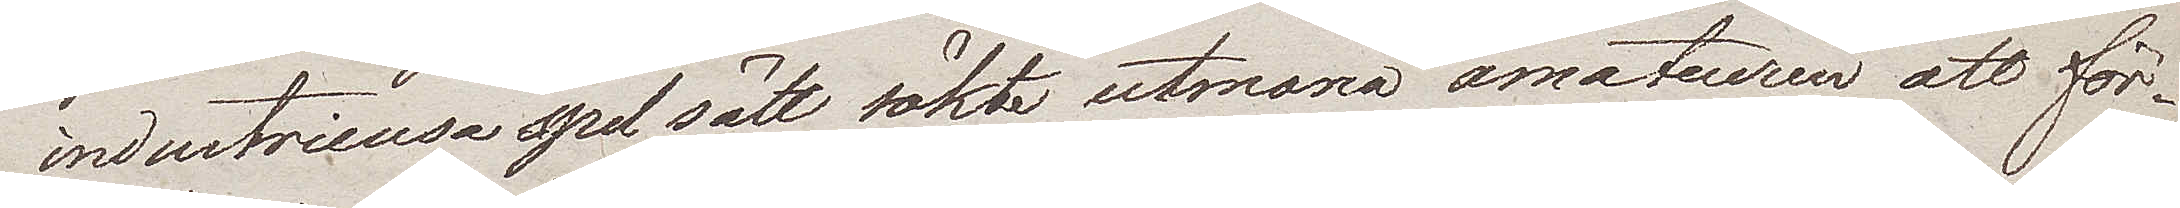industrieusa spelsätt sökte utmana amateuren att för¬
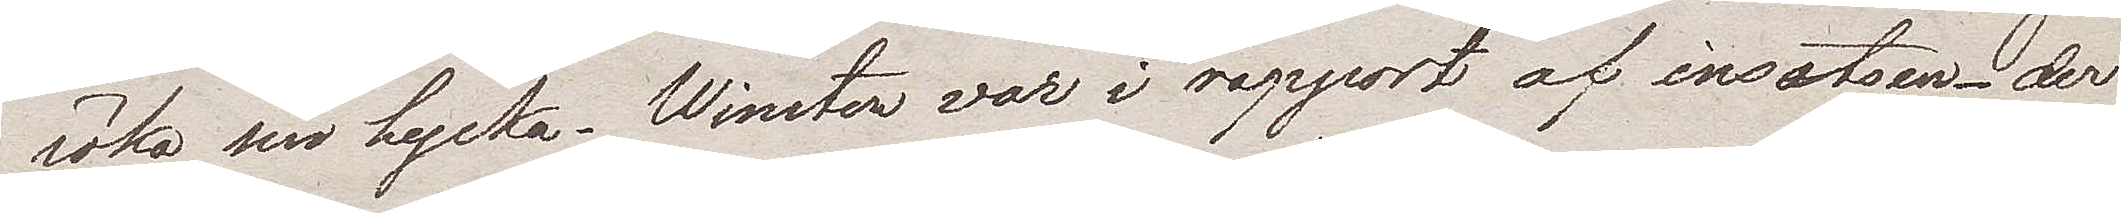söka sin lycka. Winsten var i rapport af insatsen, der
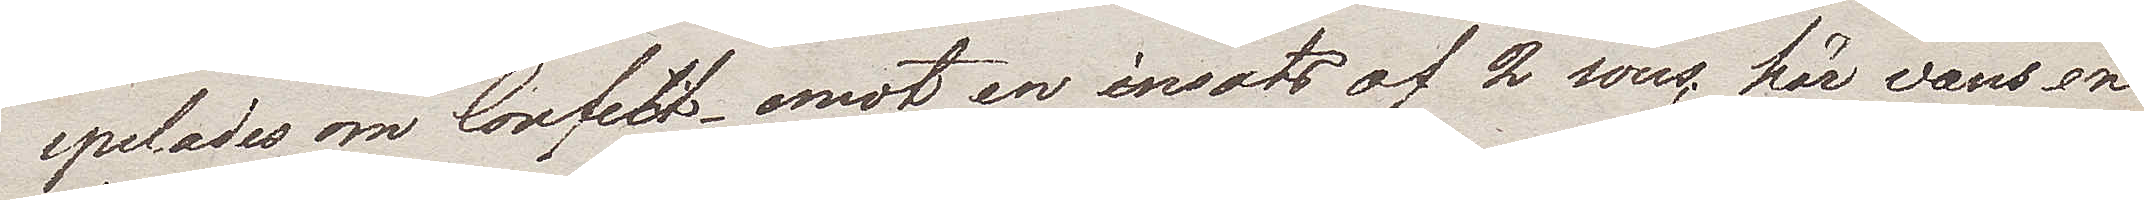spelades om Confect emot en insats af 2 sous, här vans en
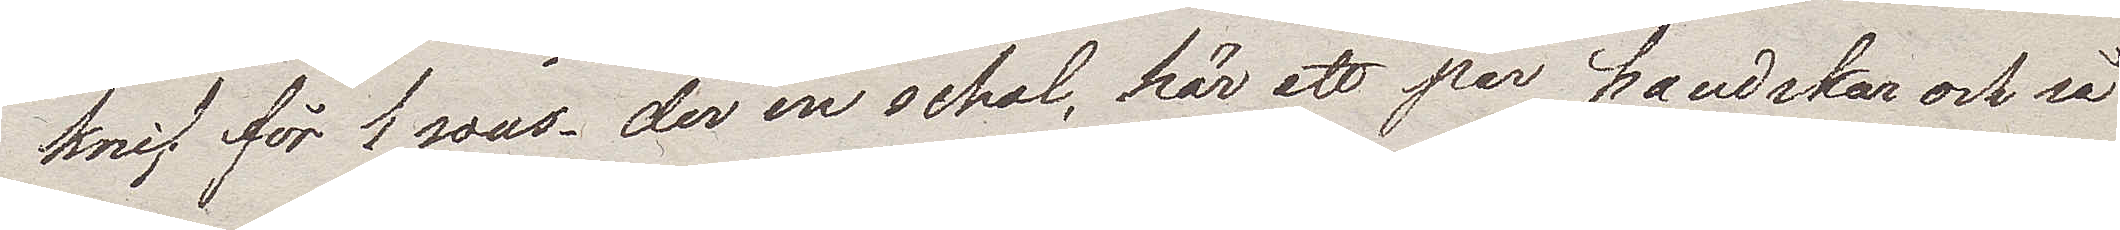knif för 1 sous, der en schal, här ett par handskar och så
